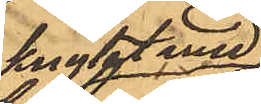knytet med
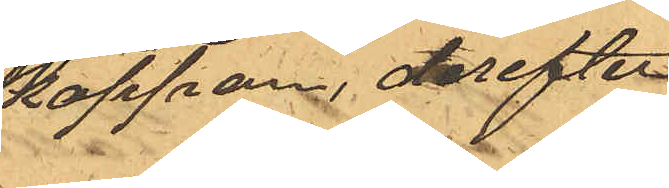kappan, derefter
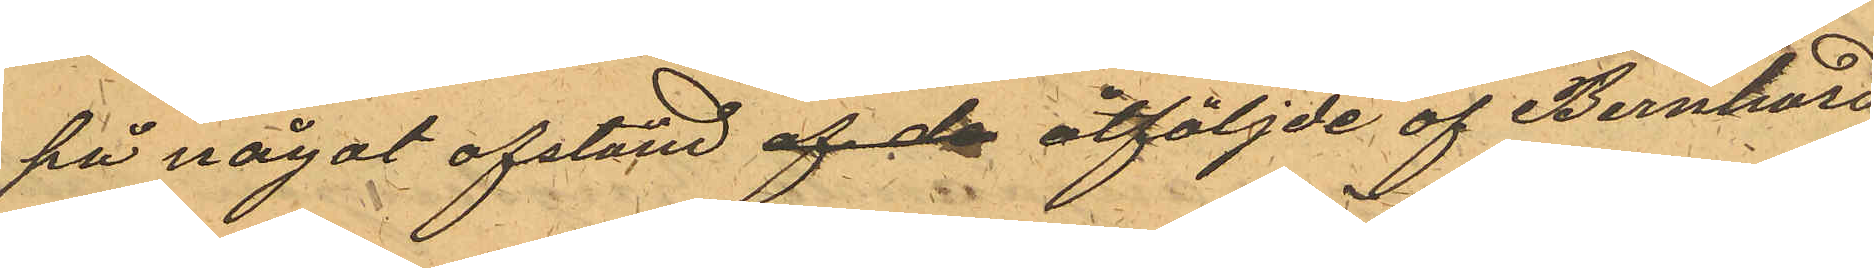på något afstånd af de åtföljde af Bernhard
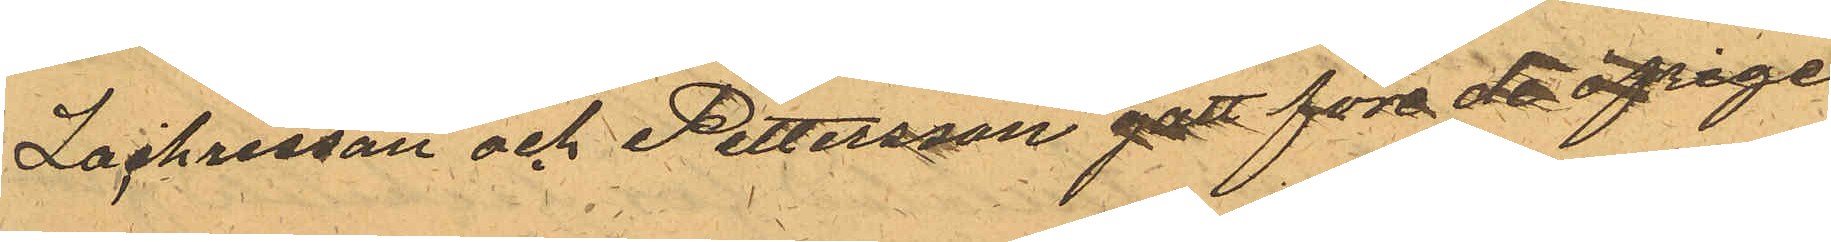Zachrisson och Pettersson gatt före de öfrige
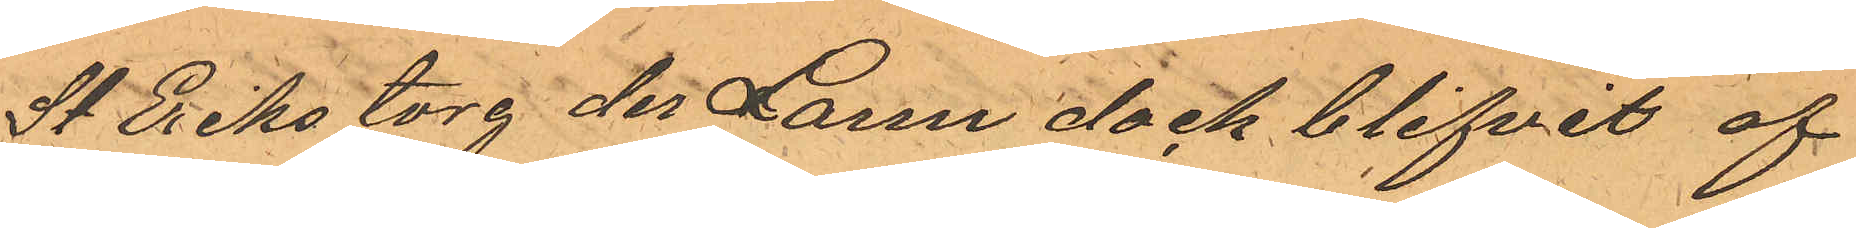St Erikstorg der Larm dock blifvit af
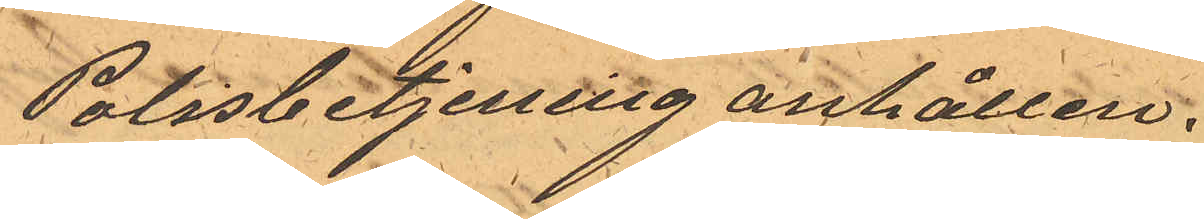Polisbetjening anhållen.
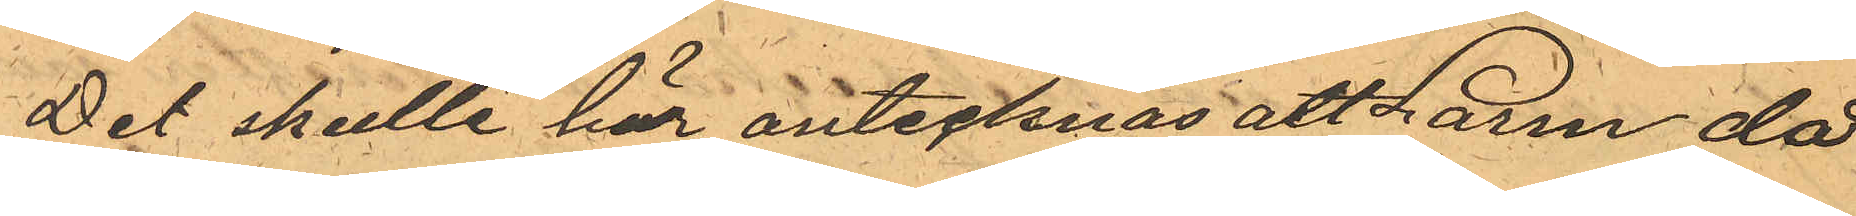Det skulle här antecknas att Larm då
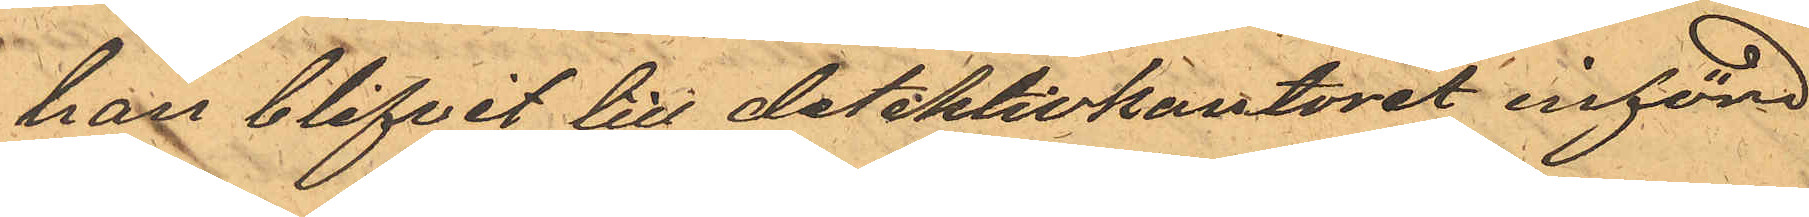han blifvit till detektivkontoret införd
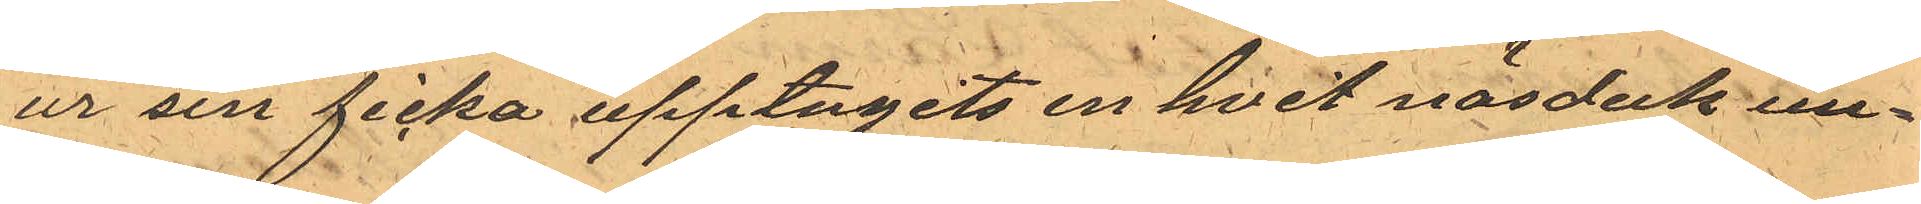ur sin ficka upptagits en hvit näsduk un¬
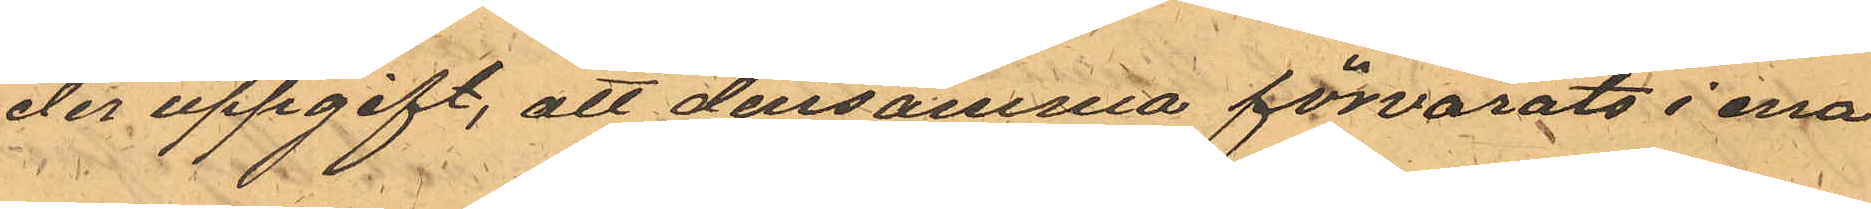der uppgift, att densamma förvarats i ena
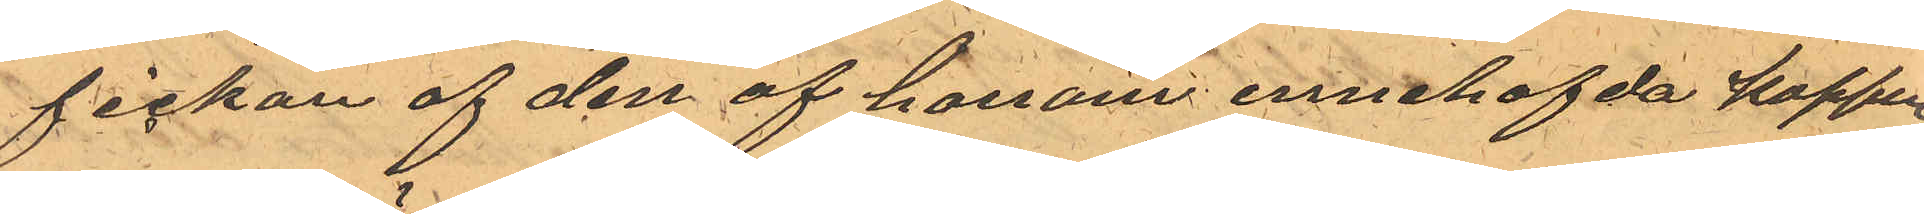fickan af den af honom innehafda kappan.
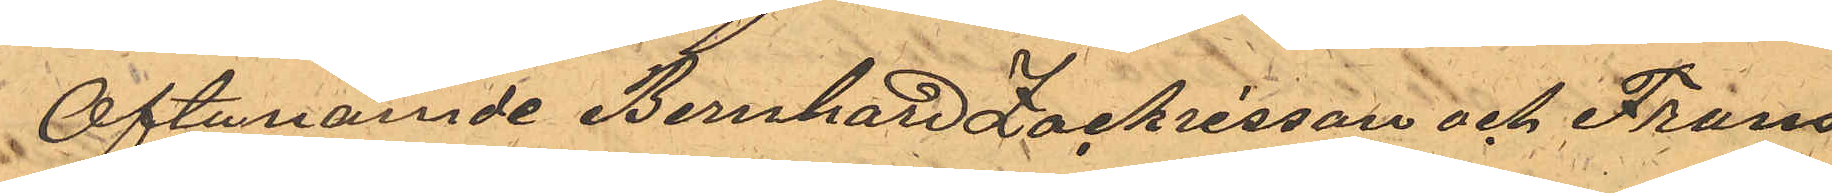Oftanämde Bernhard Zachrisson och Frans
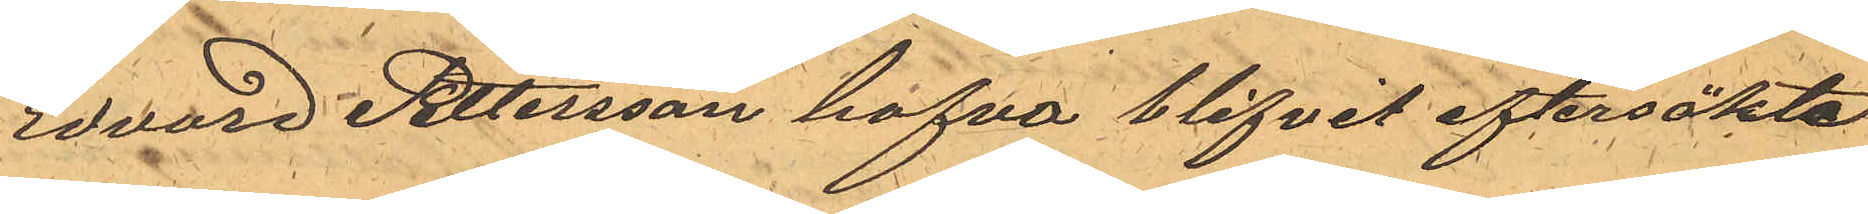Edvard Pettersson hafva blifvit eftersökta
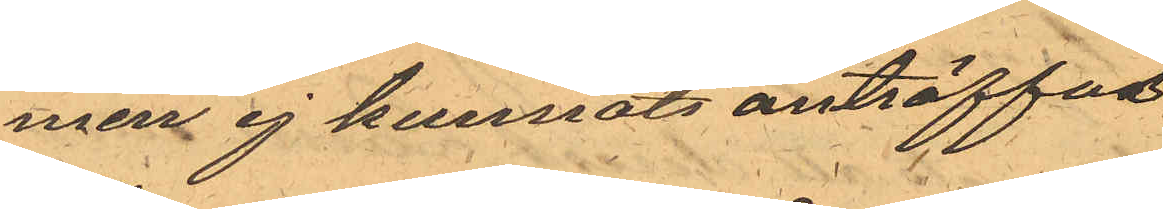men ej kunnat anträffas.
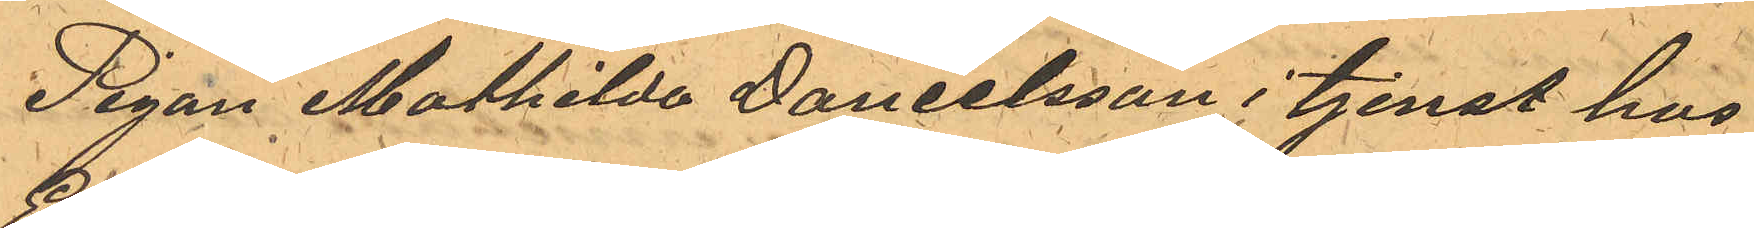Pigan Mathilda Danielsson i tjenst hos
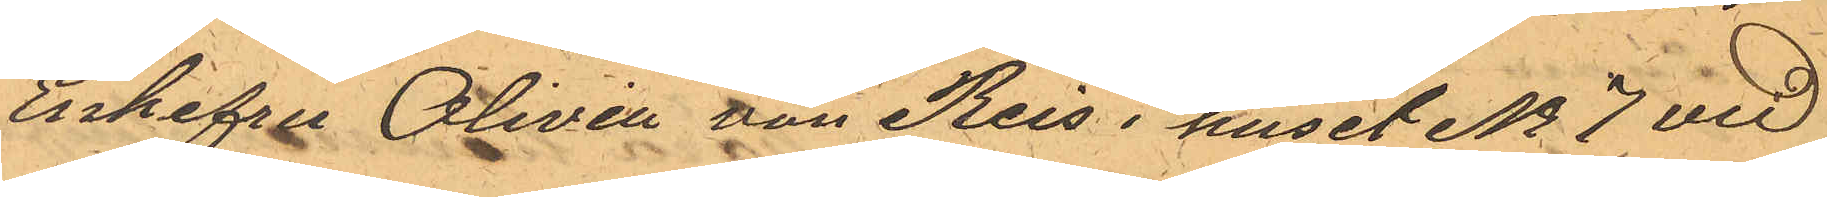Enkefru Olivia von Reis i huset No 7 vid
